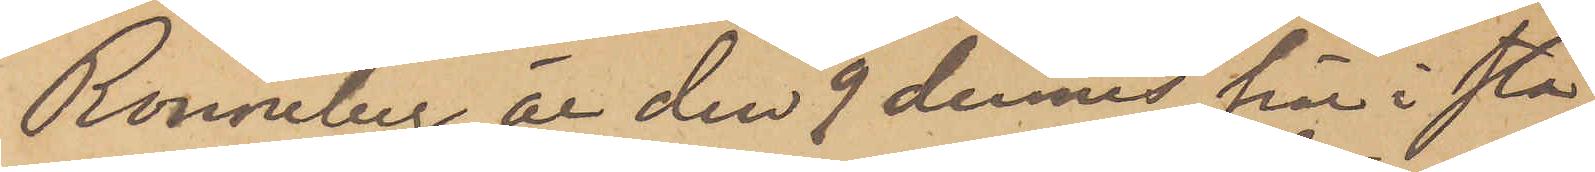Ronneby är den 9 dennes här i sta¬
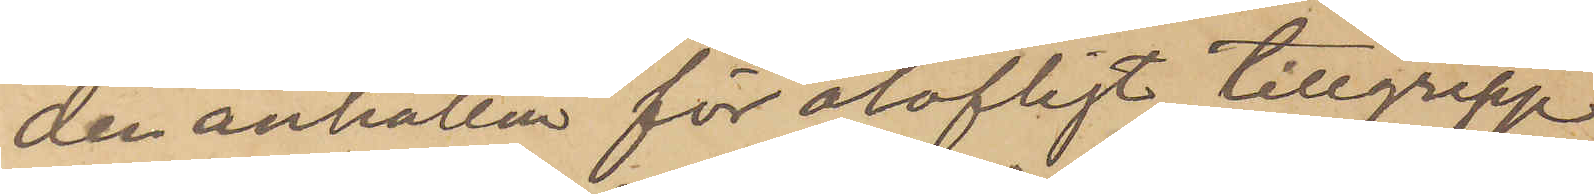den anhållen för olofligt tillgrepp
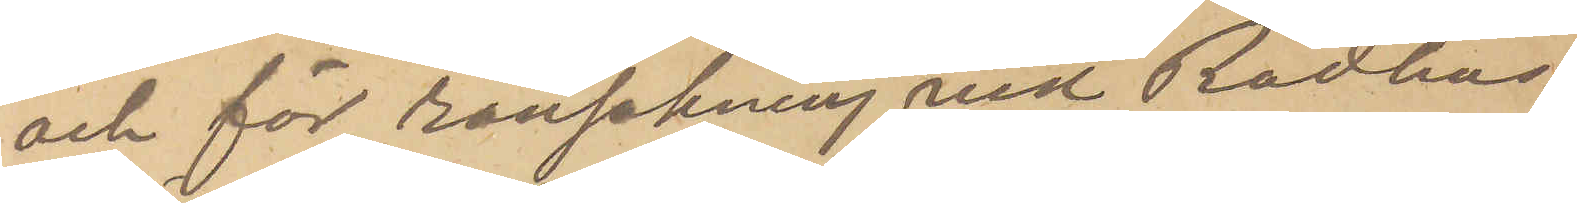och för ransakning vid Rådhus¬
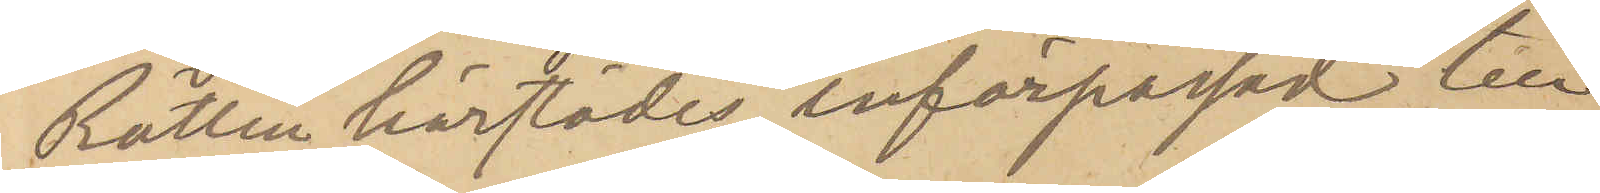Rätten härstädes införpassad till
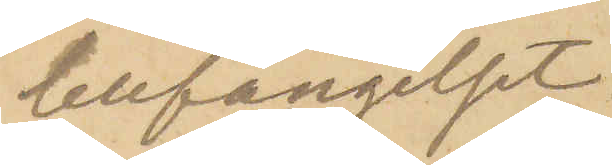cellfängelset.
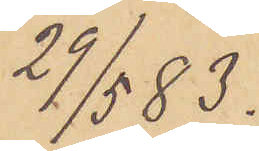29/5 83.
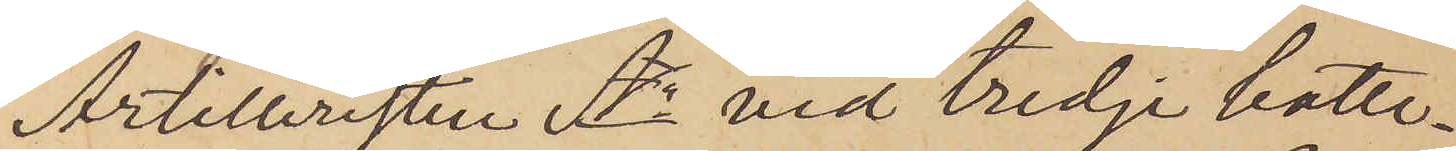Artilleristen No vid tredje batte¬
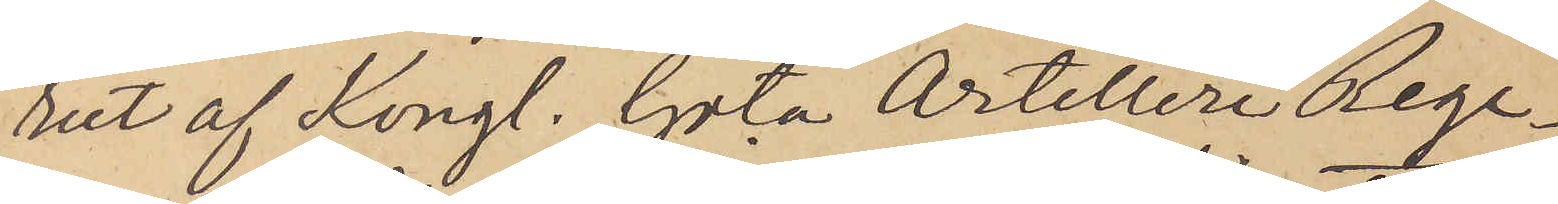riet af Kongl. Göta Artilleri Rege¬
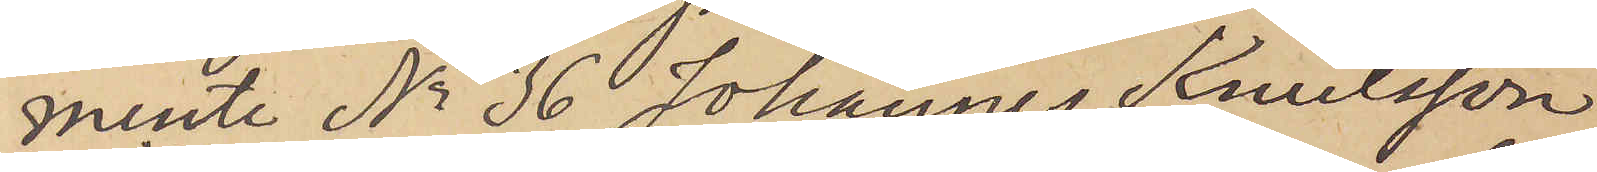mente No 36 Johannes Knutsson
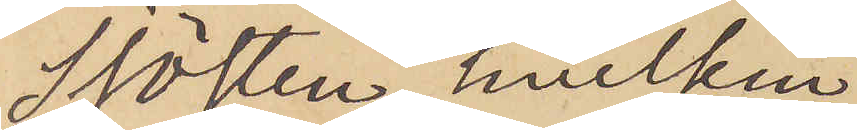Sjösten, hvilken
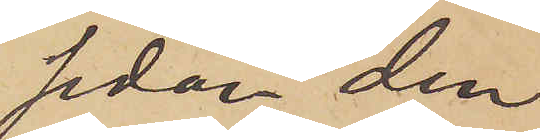sedan den
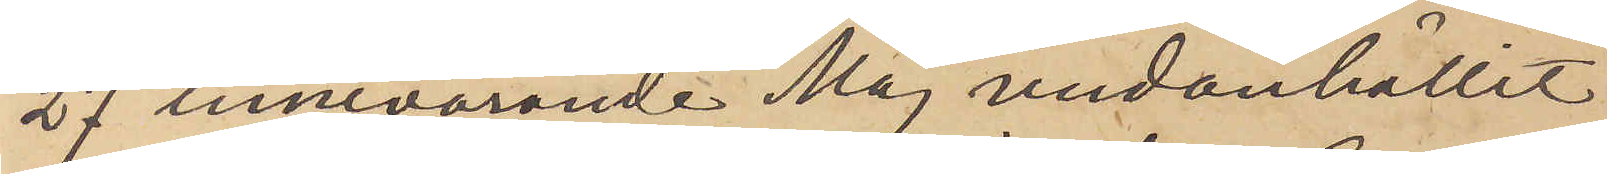27 innevarande Maj undanhållit
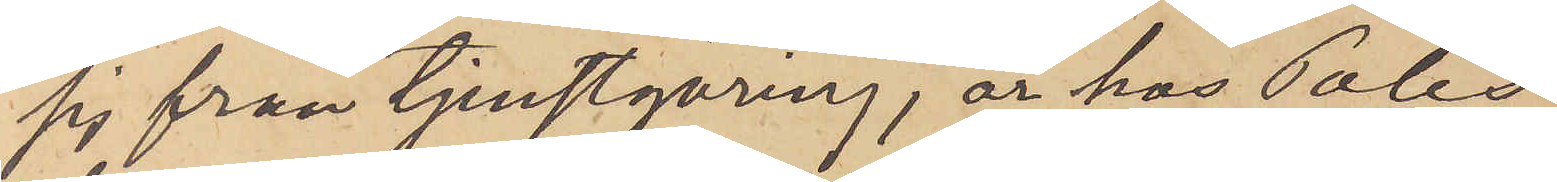sig från tjenstgöring, är hos Polis¬
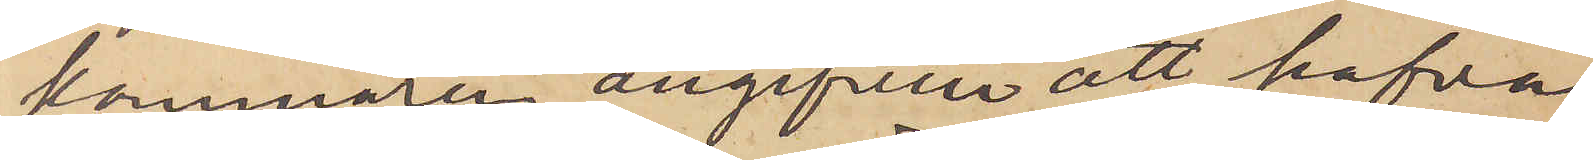kammaren angifven att hafva
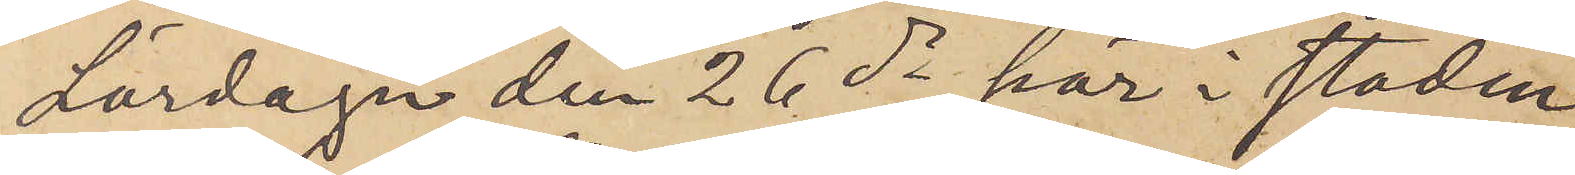Lördagen den 26 ds här i staden
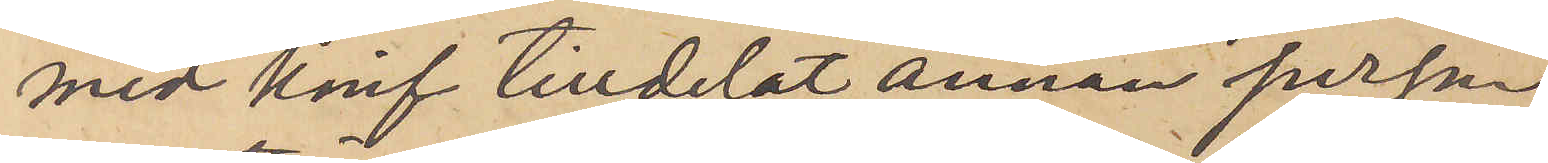med knif tilldelat annan person
